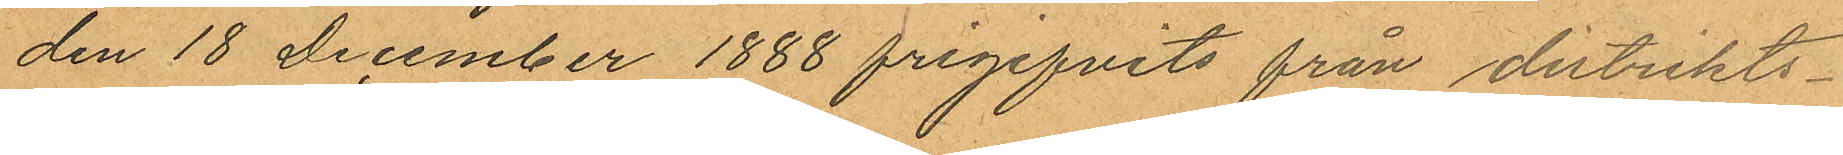den 18 December 1888 frigifvits från distrikts¬
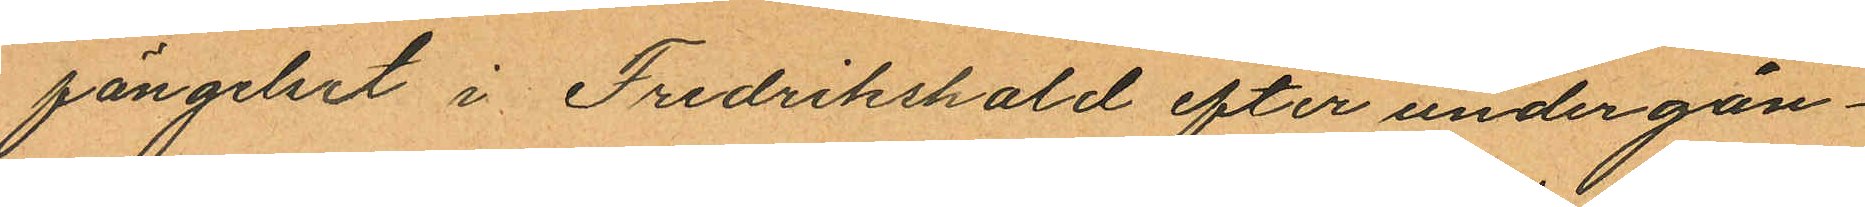fängelset i Fredrikshald efter under gån¬
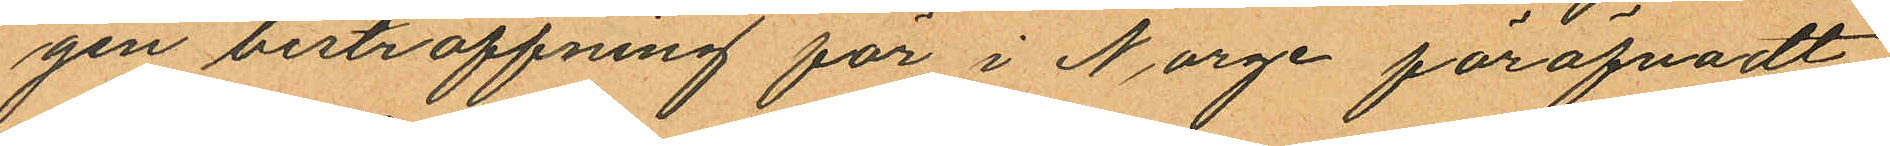gen bestraffning för i Norge föröfvadt
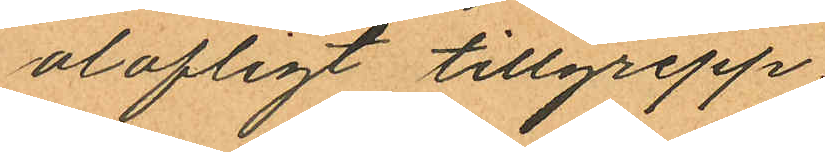olofligt tillgrepp;
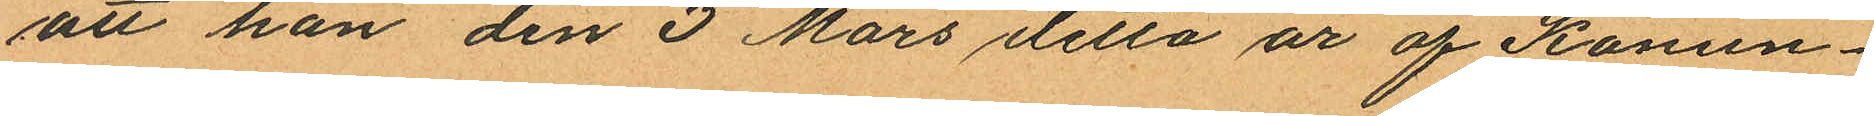att han den 3 Mars detta år af Konun¬
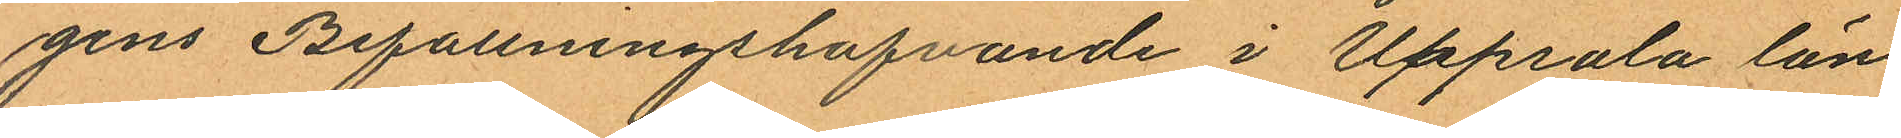gens Befallningshafvande i Uppsala län
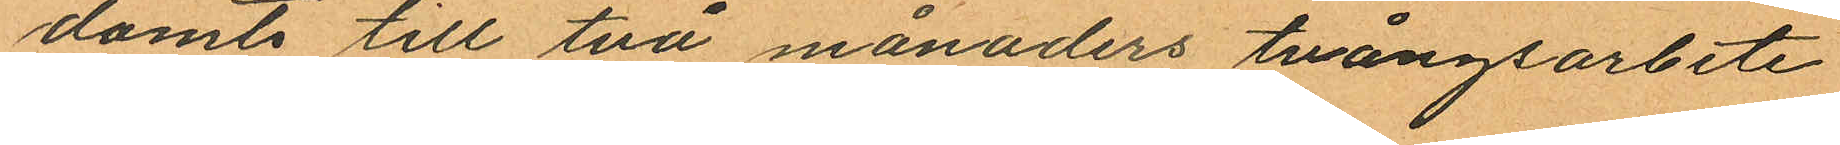dömts till två månaders tvångsarbete
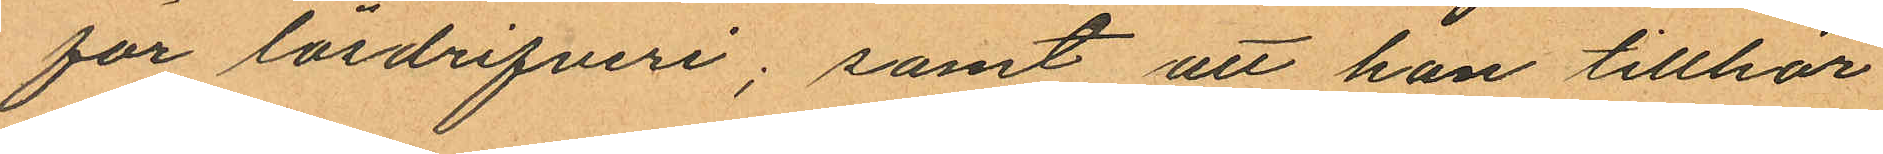för lösdrifveri; samt att han tillhör
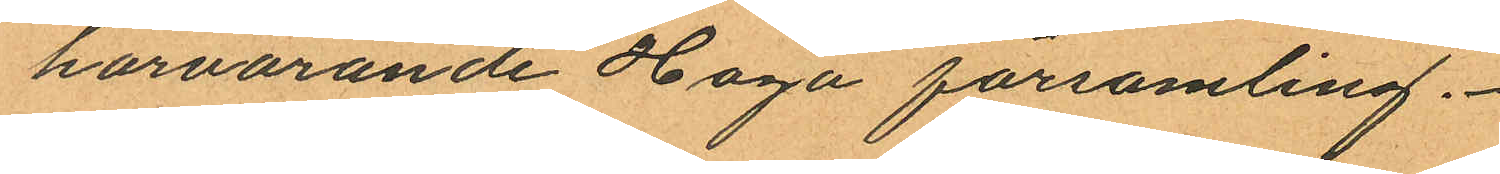härvarande Haga församling.
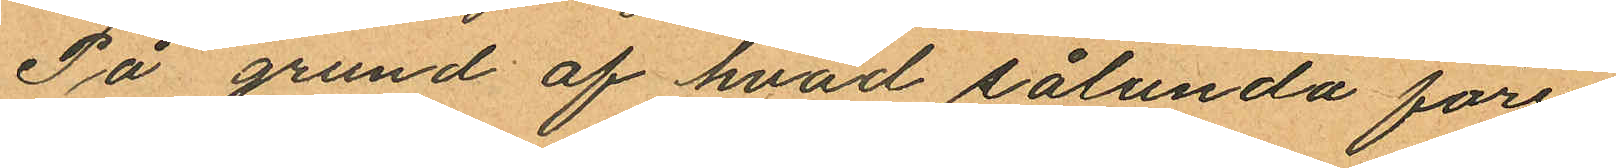På grund af hvad sålunda före
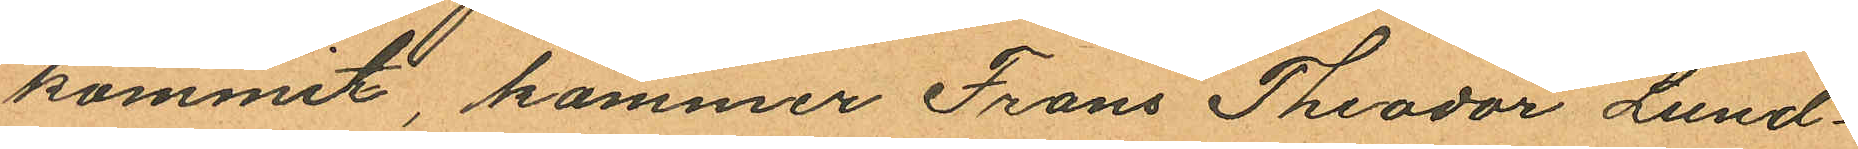kommit, kommer Frans Theodor Lund¬
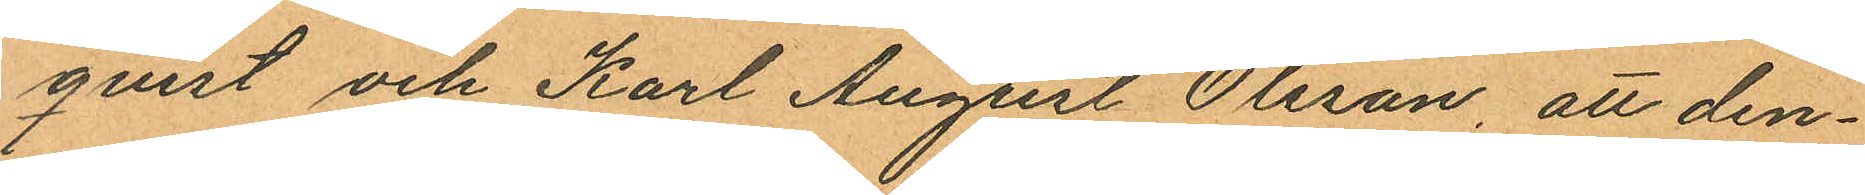quist och Karl August Olsson att den¬
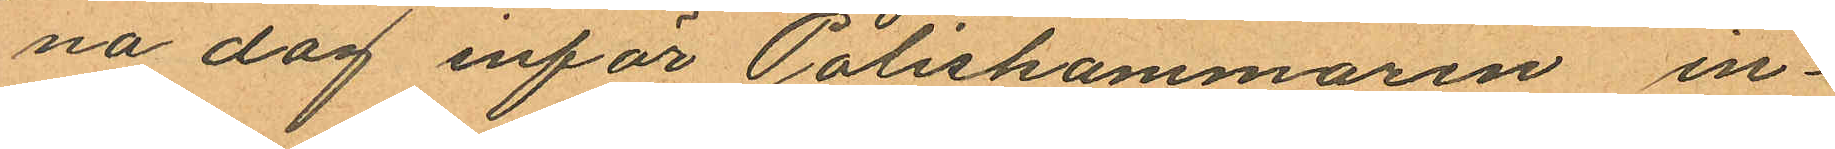na dag inför Poliskammaren in¬
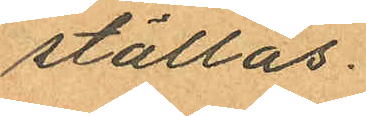ställas.
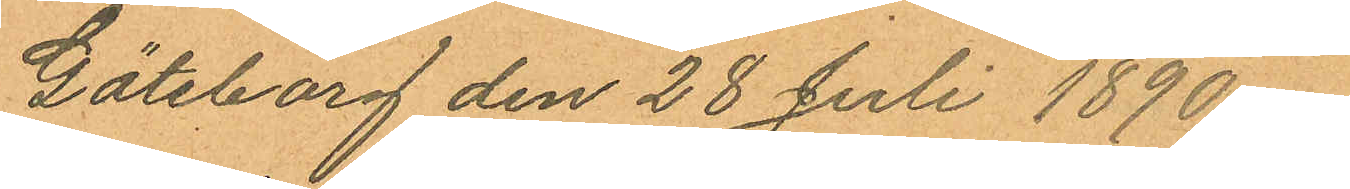Göteborg den 28 Juli 1890.
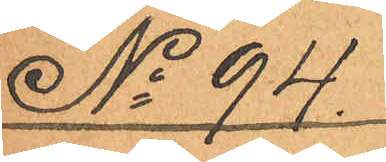No 94.
